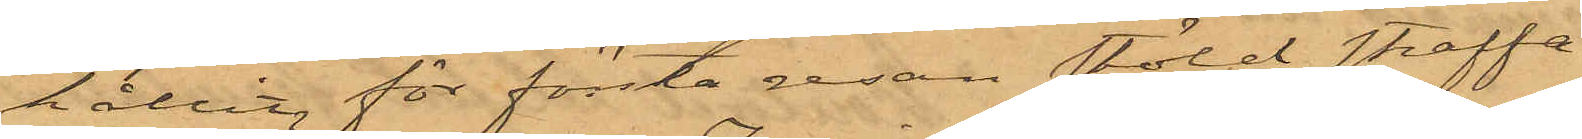hållit för första resan stöld straffa¬
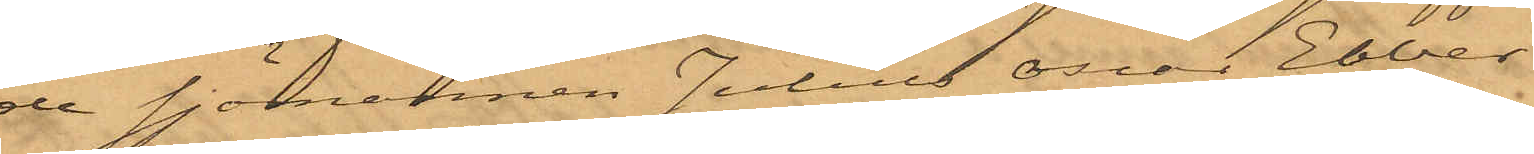de sjömannen Julius Oscar Ebber¬
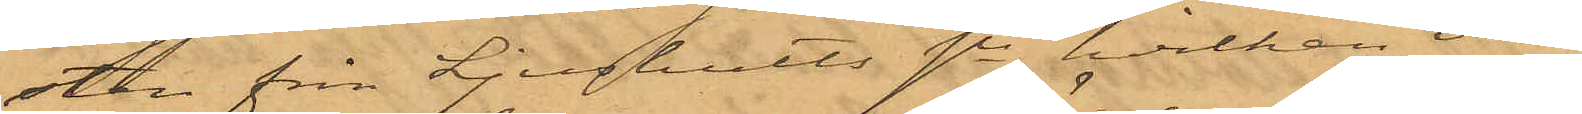sten från Ljushults sn, hvilken vid
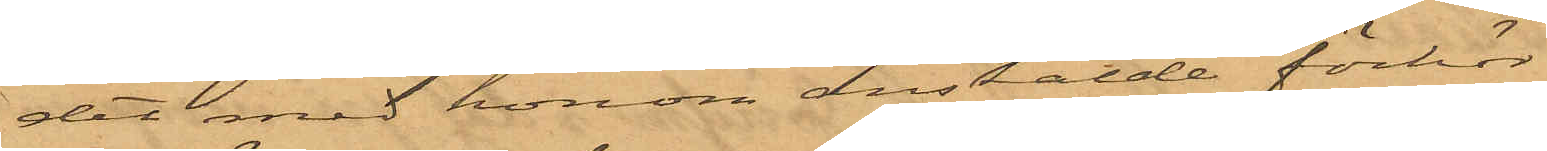det med honom anstälde förhör
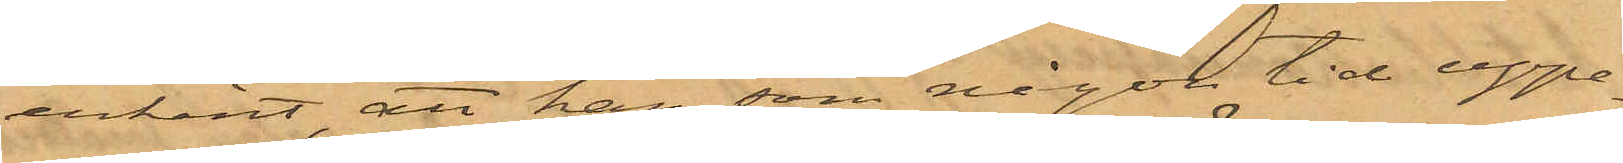erkänt, att han, som någon tid uppe¬
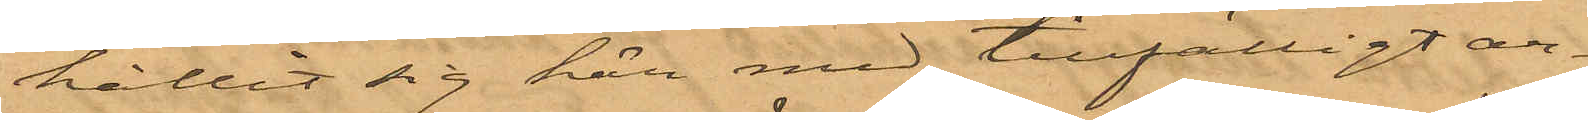hållit sig här med tillfälligt ar¬
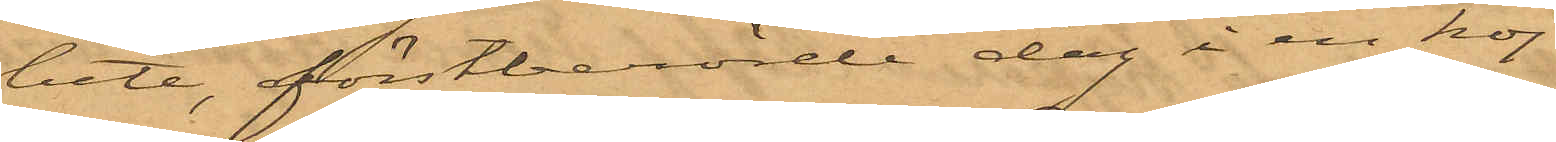bete, förstberörde dag å en koj
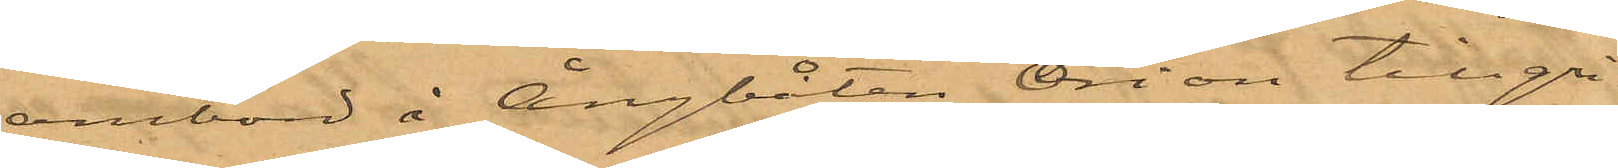ombord å Ångbåten Orion tillgri¬
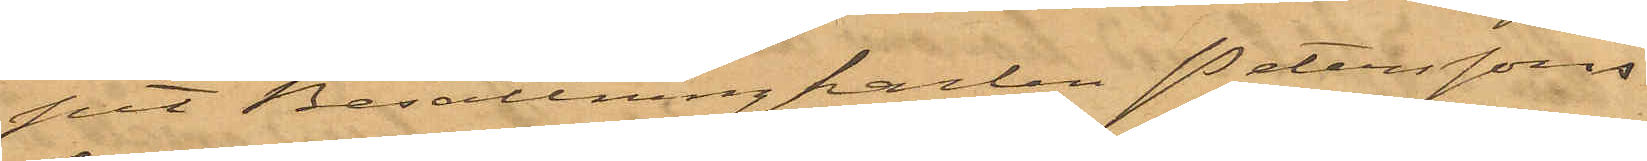pit Besättningkarlen Peterssons
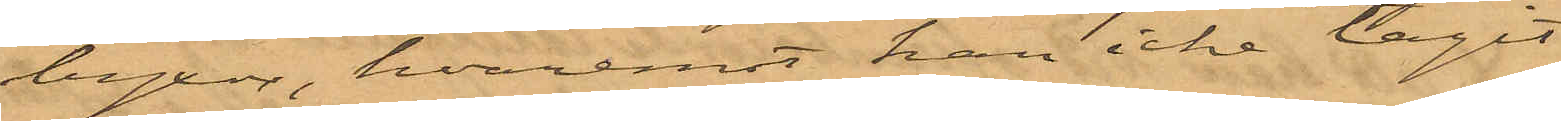byxor, hvaremot han icke tagit
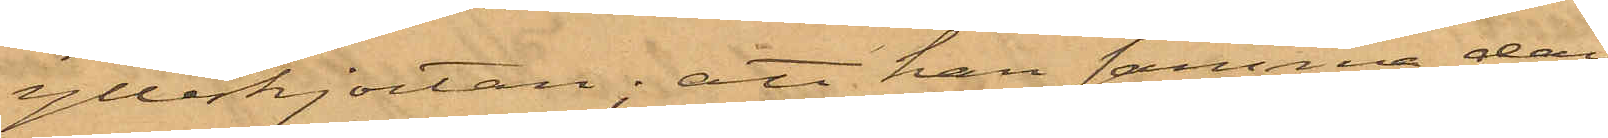ylleskjortan; att han samma dag
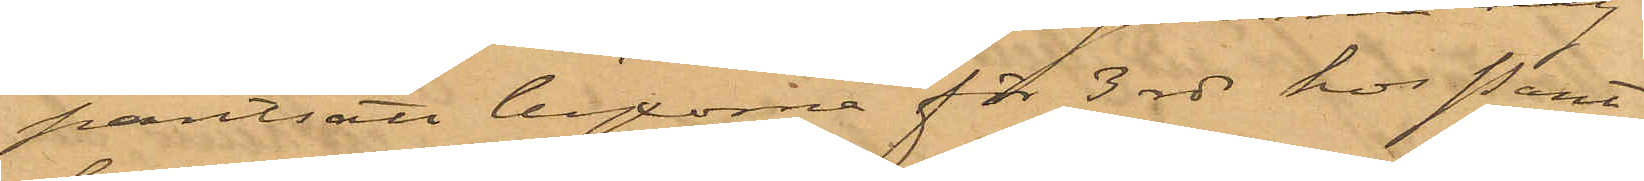pantsatt byxorna för 3 rdr hos Pant¬
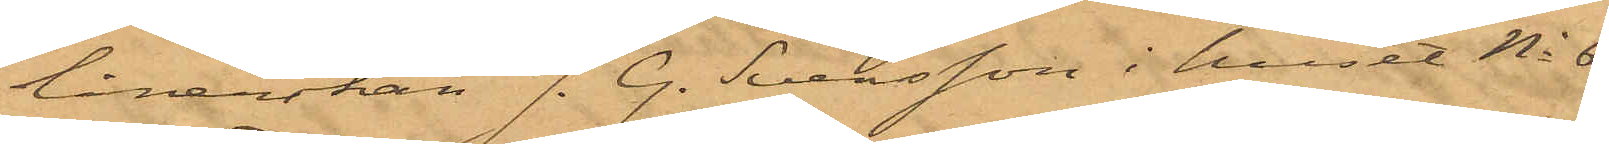lånerskan J. G. Svensson i huset No 6
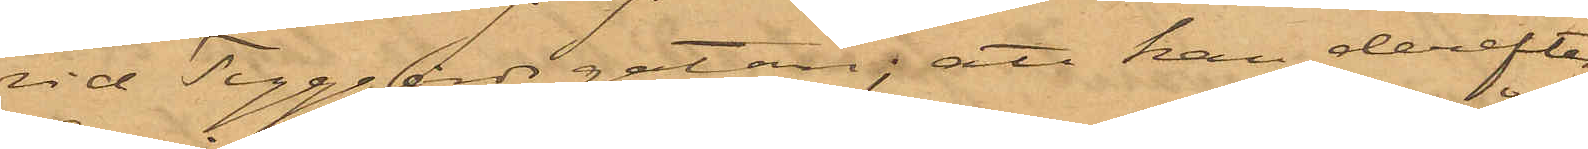vid Tyggårdsgatan; att han derefter
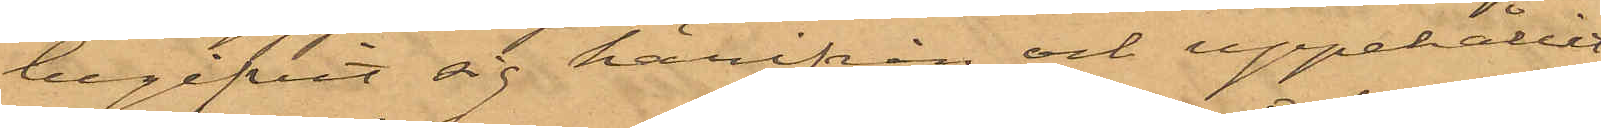begifvit sig härifrån och uppehållit
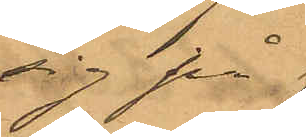sig på
